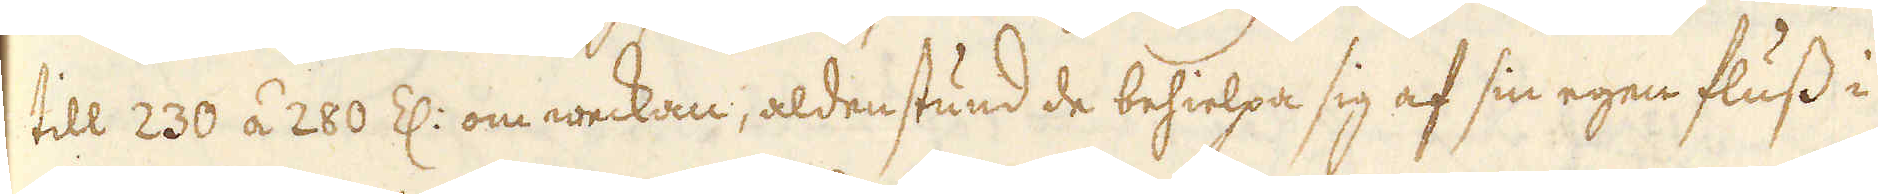till 230 á 280 Z: om weckan, aldenstund de behielpa sig af sin egen fluss i
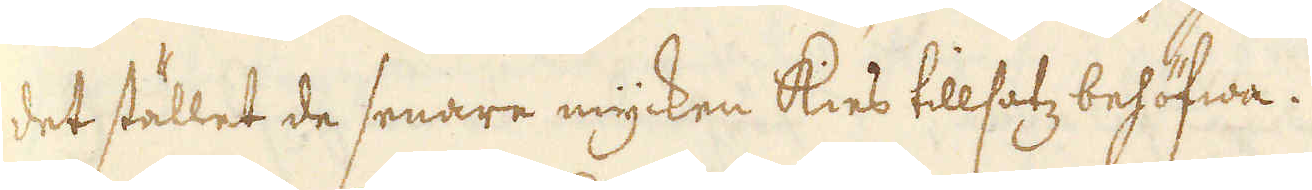det stället de senare mycken kies tillsatz behöfwa.
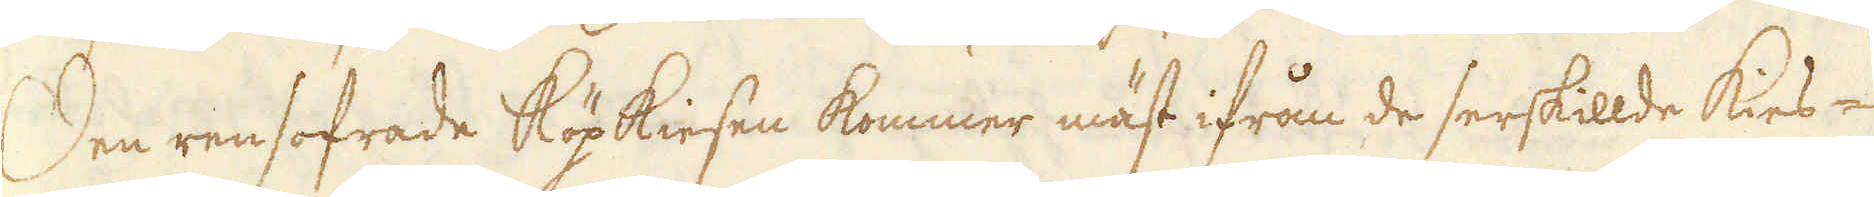Den rensofrade Köpkiesen kommer mäst ifrån de serskillde kies-
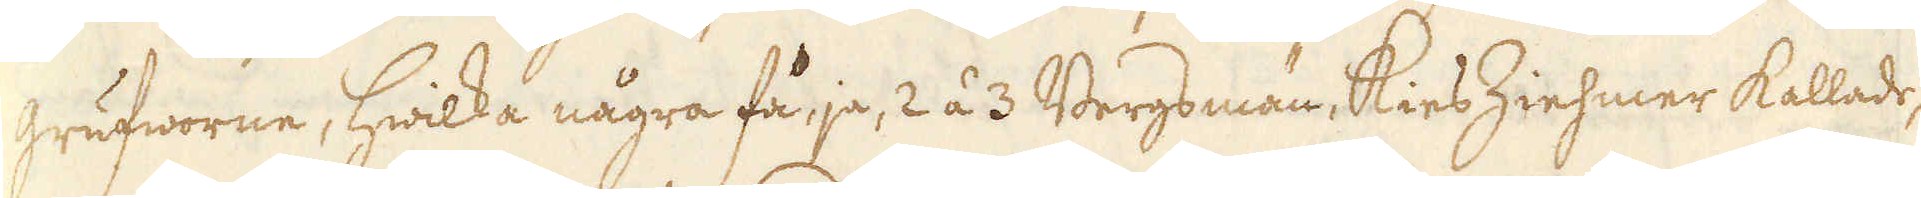grufworne, hwilka några få ja, 2 á 3 Bergsmän, kies Ziehmer kallade,
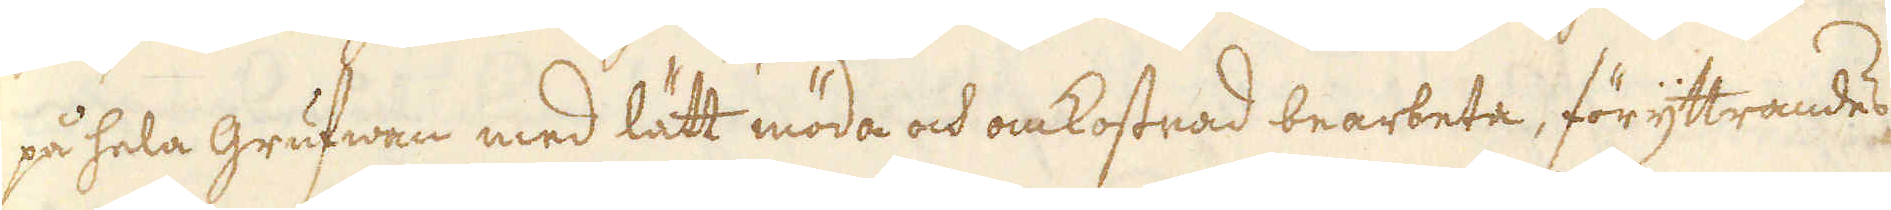på hela grufwen med lätt möda och omkostnad bearbeta, föryttrandes
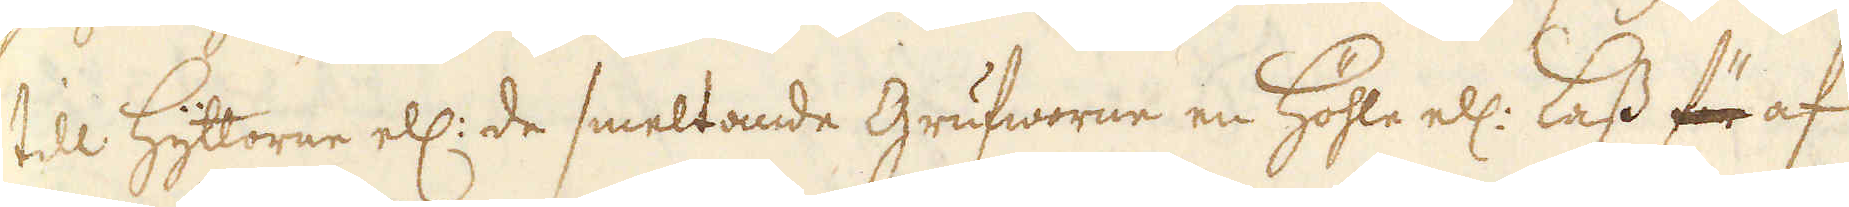till Hyttorne ell: de smeltande Grufworne en Höhle ell: lass för af
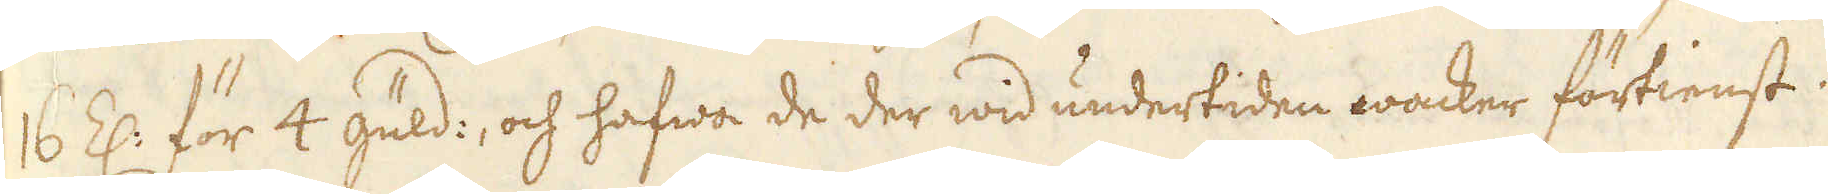16 Z: för 4 guld:, och hafwa de der wid undertiden wacker förtienst
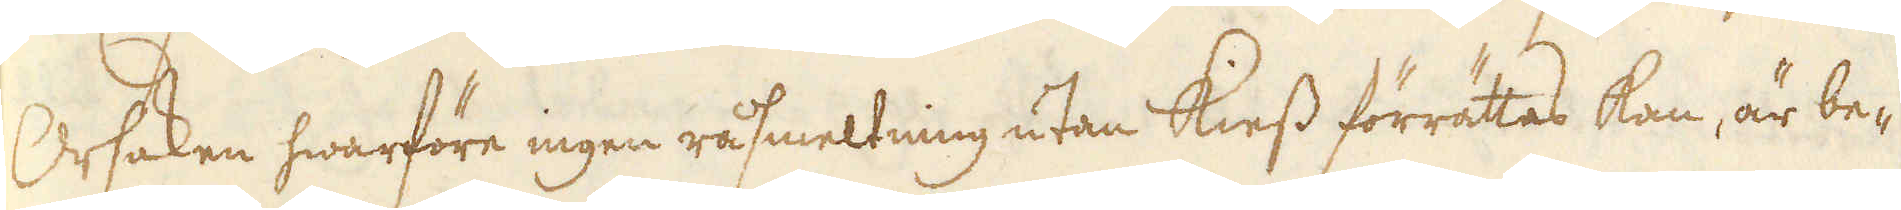Orsaken hwarföre ingen råsmeltning utan kiess förrättas kan, är be-
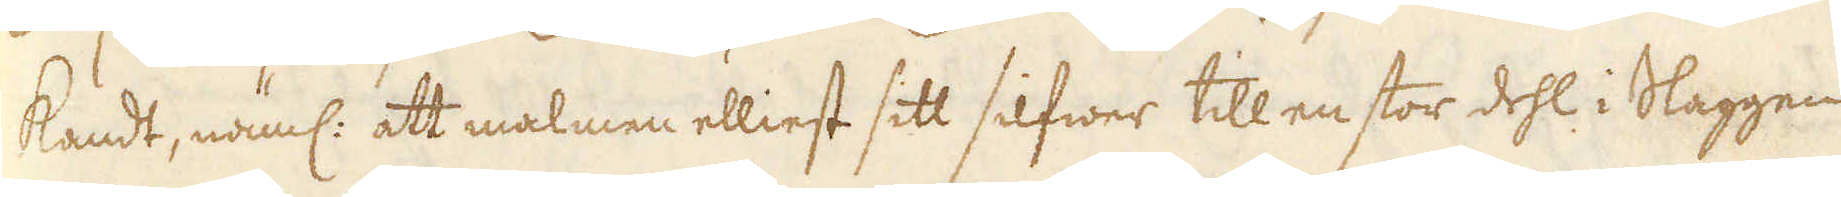kandt, näml: att malmen elliest sitt silfwer till en stor dehl i Slaggen
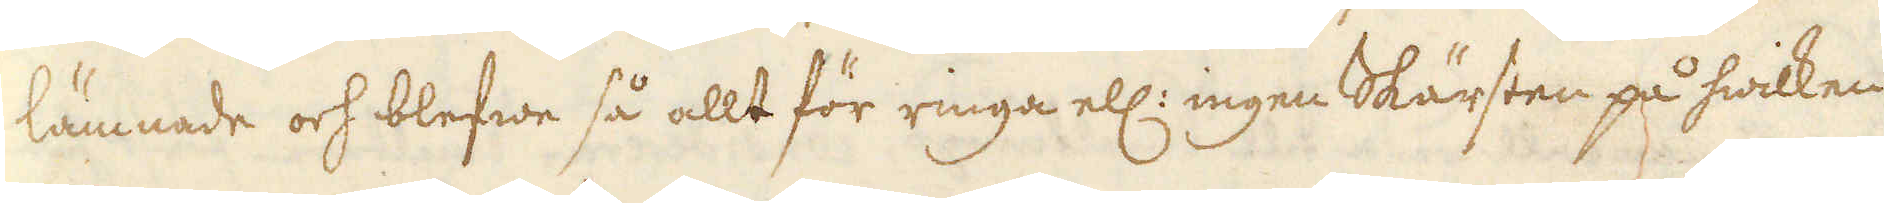lämnade och blefwe så allt för ringa ell: ingen Skärsten på hwilken
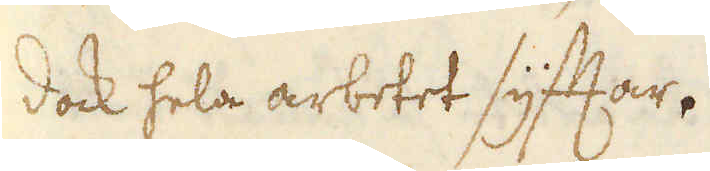dock hela arbetet syftar.
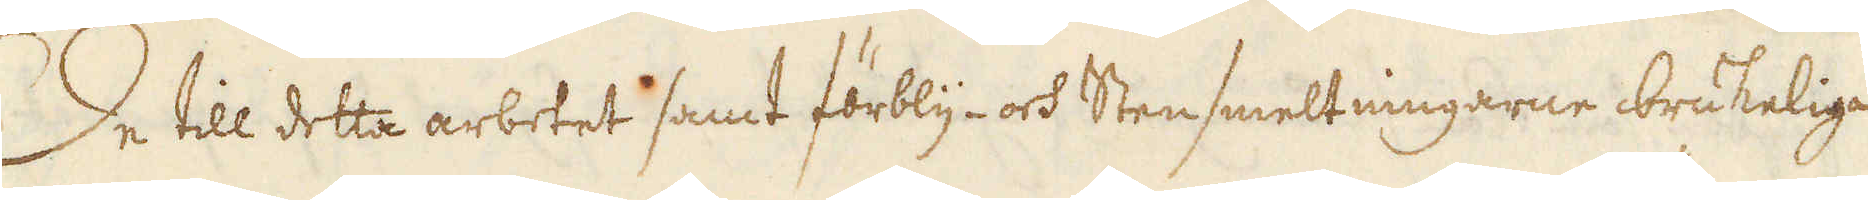De till detta arbetet samt förbly- och Stensmeltningarne brukelige
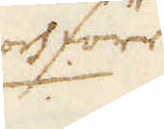och förr
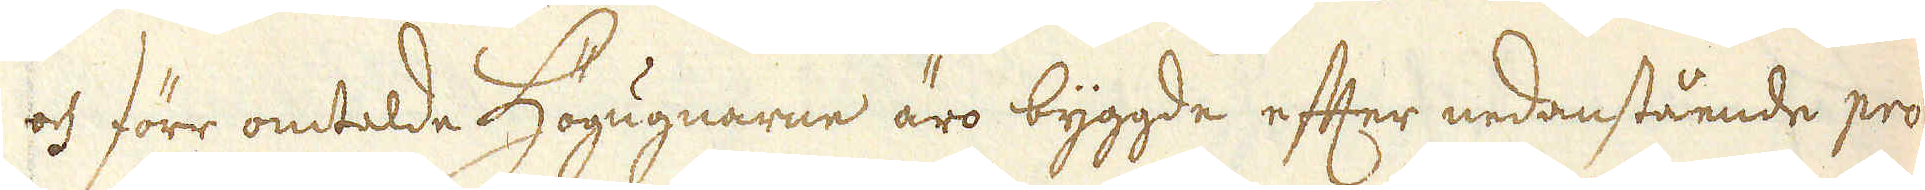och förr omtalde Högugnarne äro byggde efter nedanstående pro-
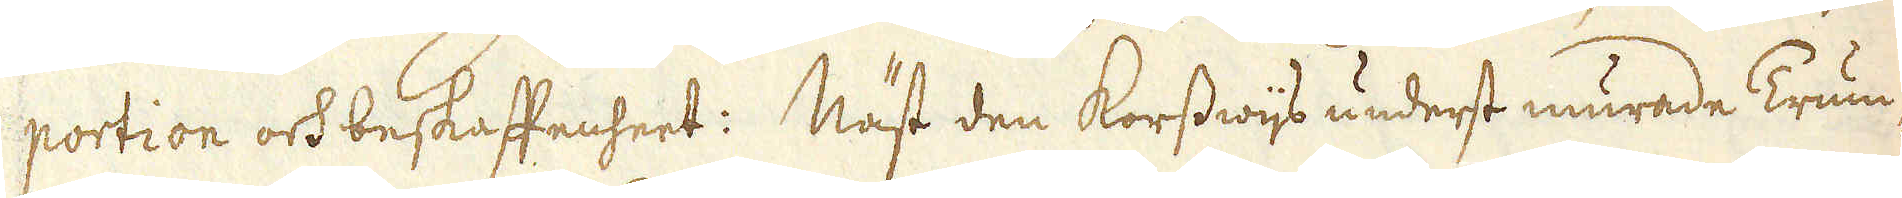portion och beskaffenheet: Näst den korsswijs underst murade Trum-
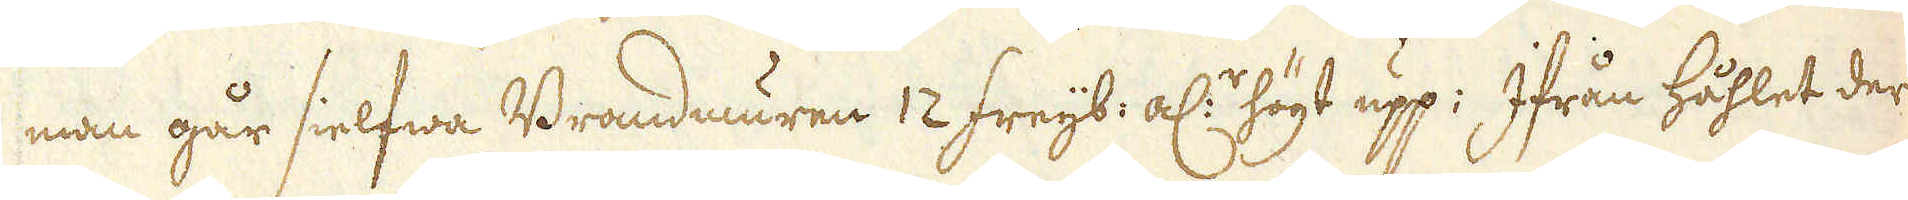man går sielfwa Brandmuren 12 freijb: al:r högt upp: Ifrån håhlet der
